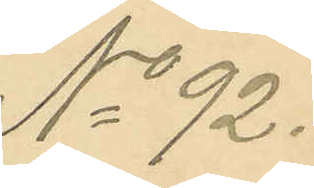No 92.
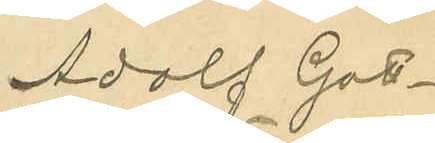Adolf Gott¬
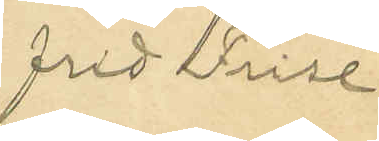frid Frise
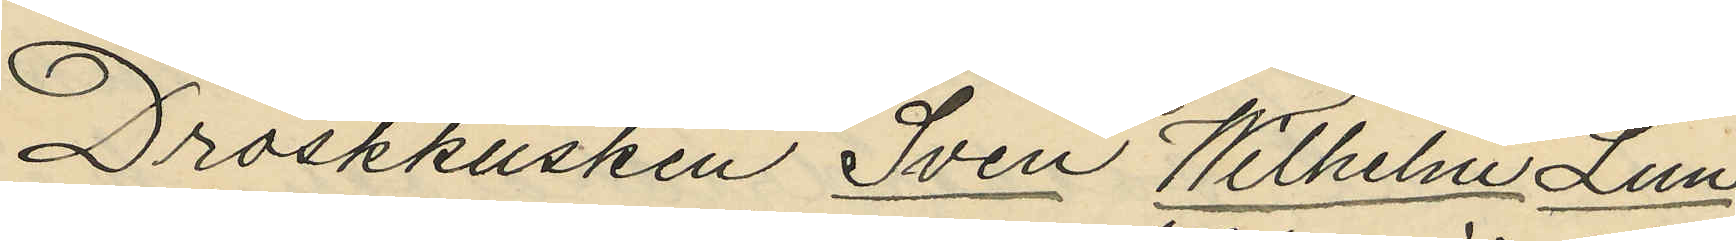Droskkusken Sven Wilhelm Lun¬
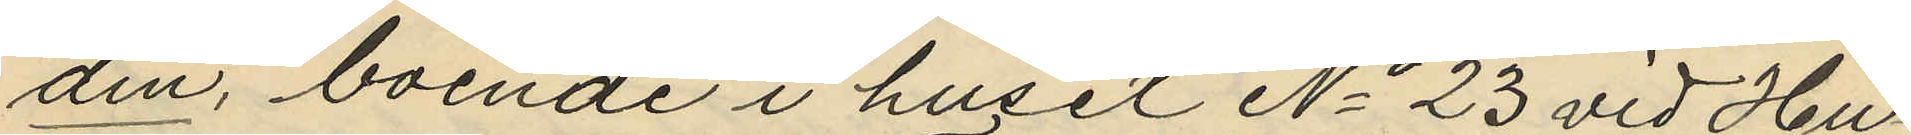din, boende i huset No 23 vid Hu¬
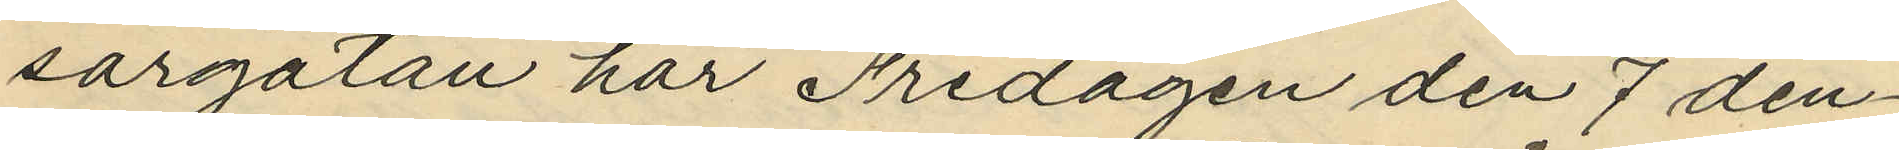sargatan har Fredagen den 7 den¬
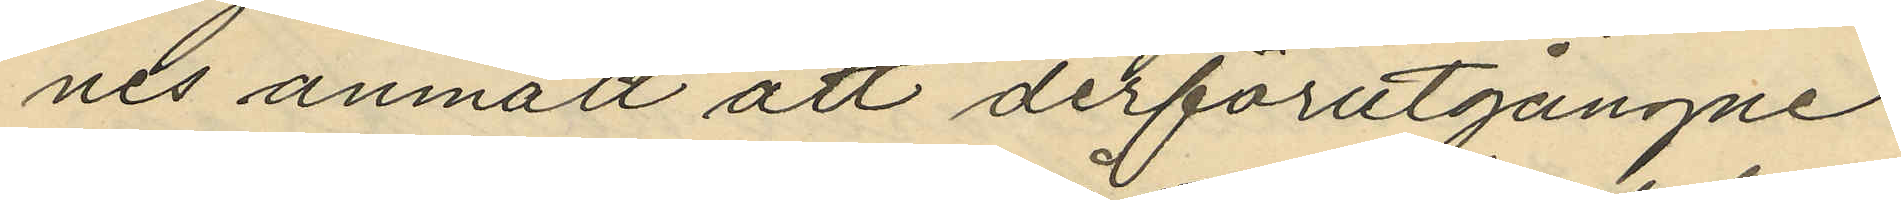nes anmält att derförutgångne
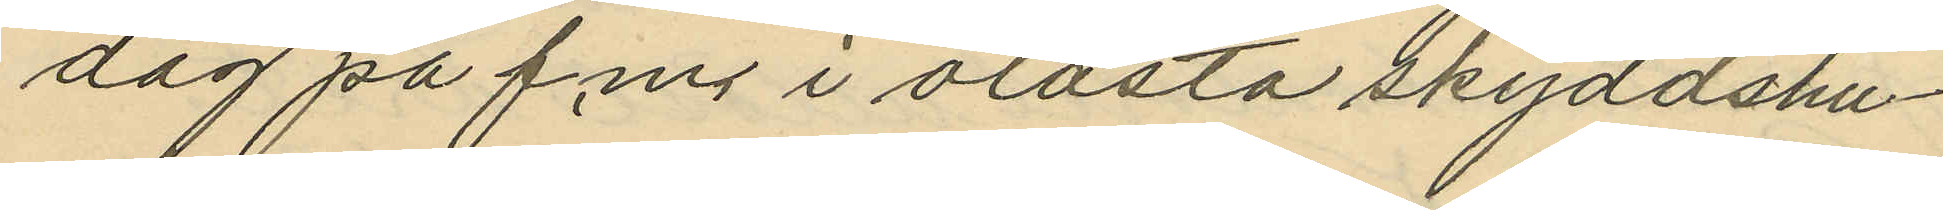dag på f.m. i olåsta skyddshu¬
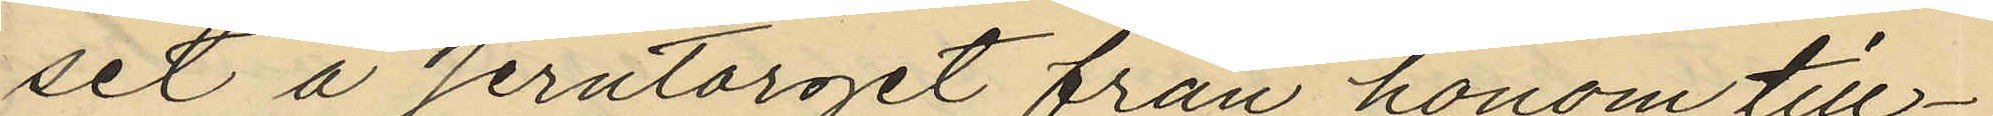set å Jerntorget från honom till¬
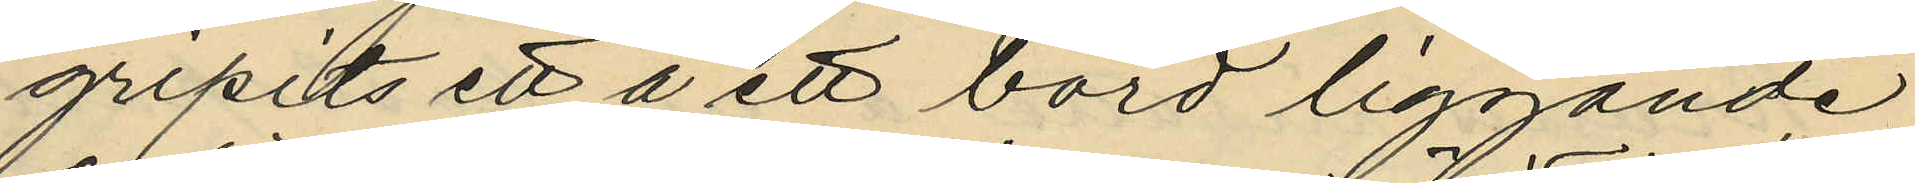gripits ett å ett bord liggande
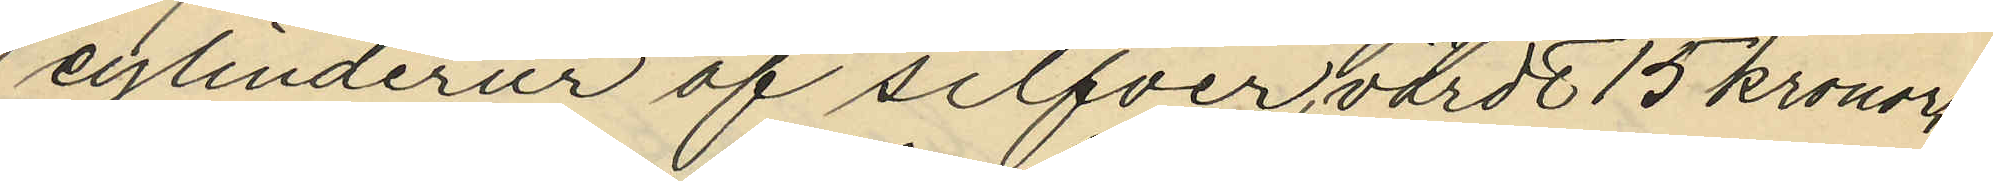cylinderur af silfver, värdt 15 kronor,
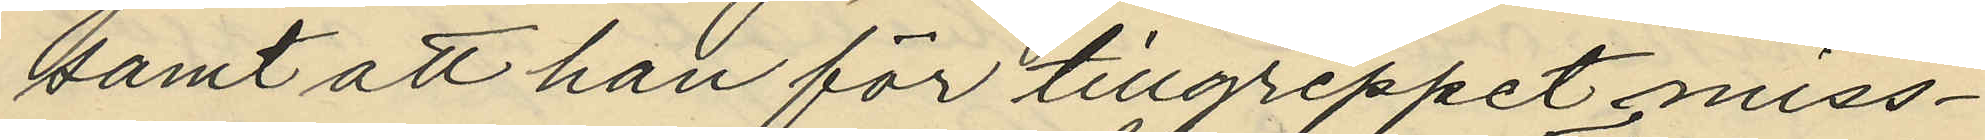samt att han för tillgreppet miss¬
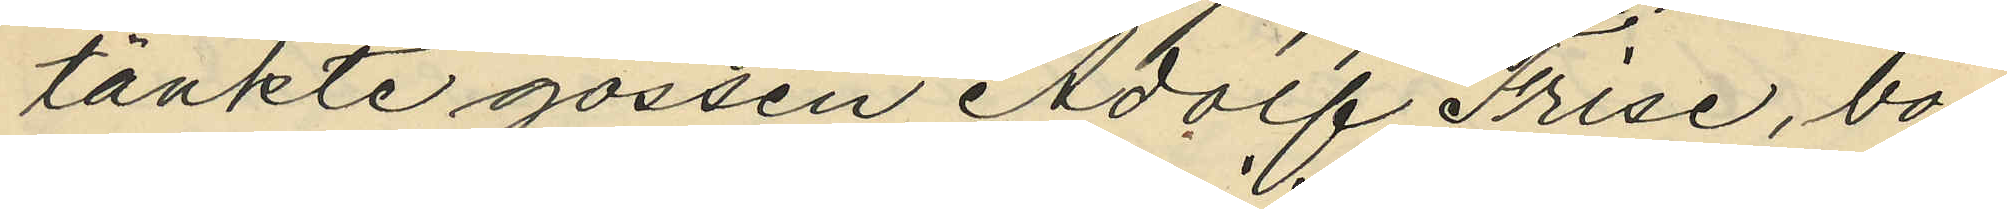tänkte gossen Adolf Frise, bo¬
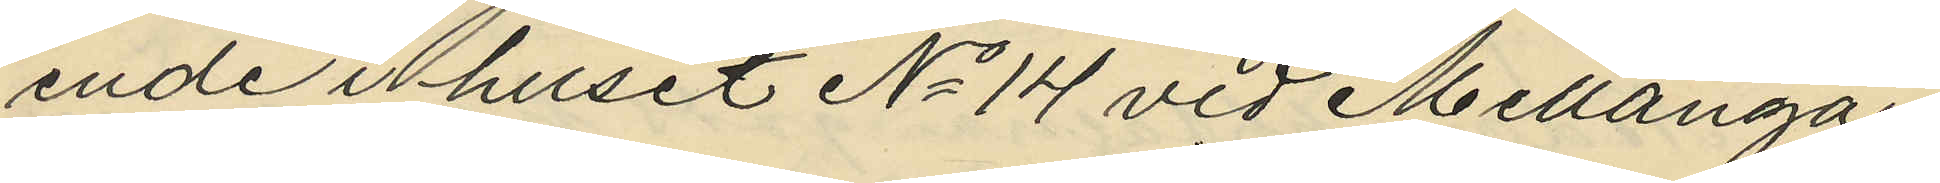ende i huset No 14 vid Mellanga¬
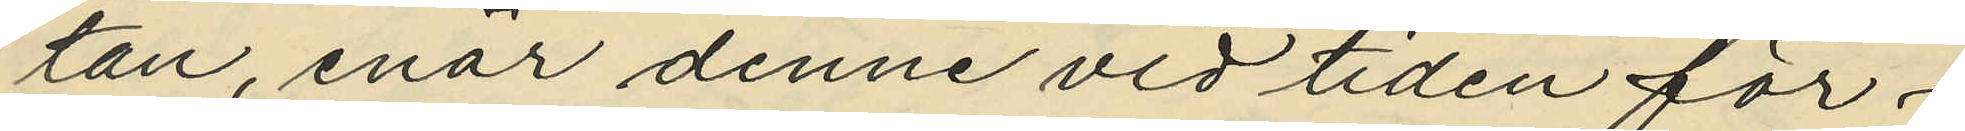tan, enär denne vid tiden för
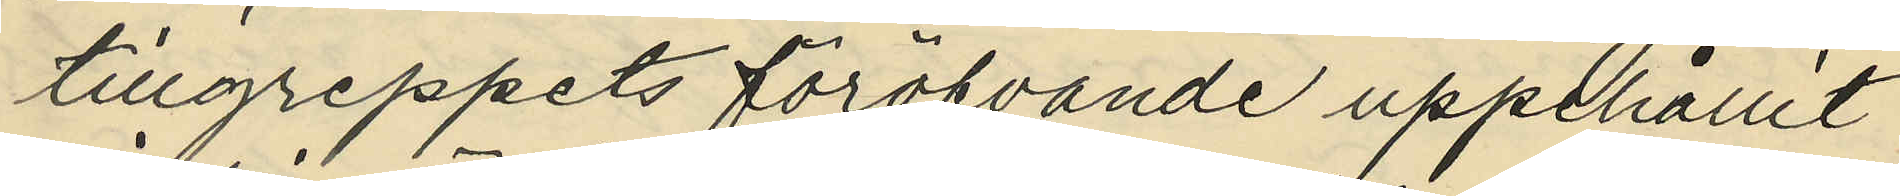tillgreppets föröfvande uppehållit
